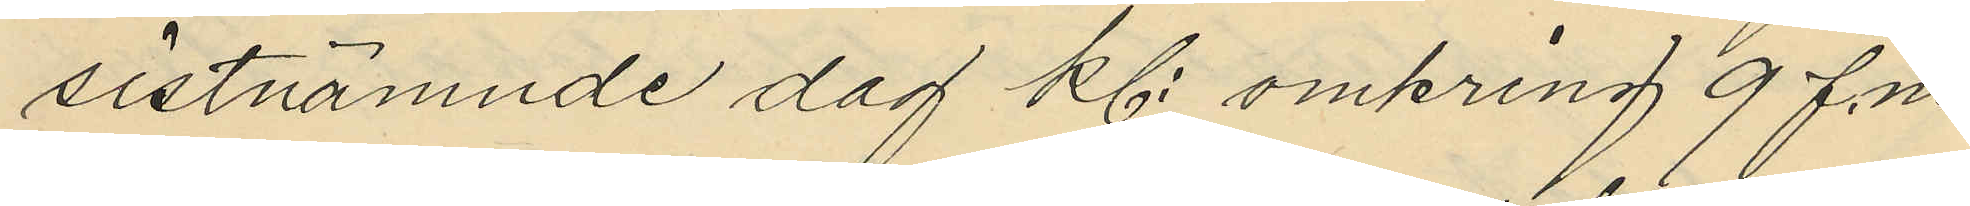sistnämnde dag kl. omkring 9 f.m.
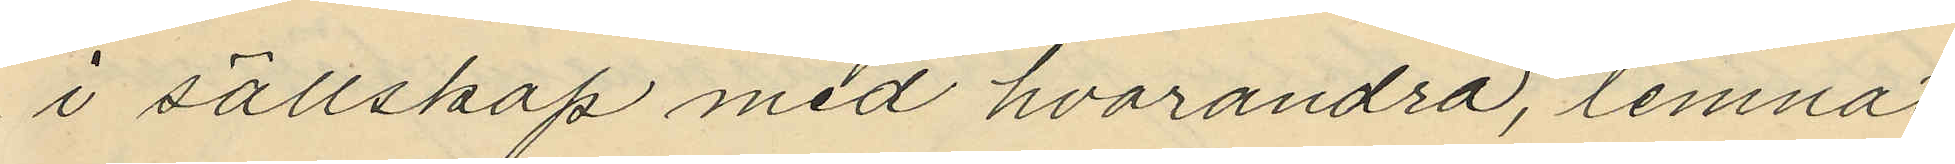i sällskap med hvarandra, lemnat
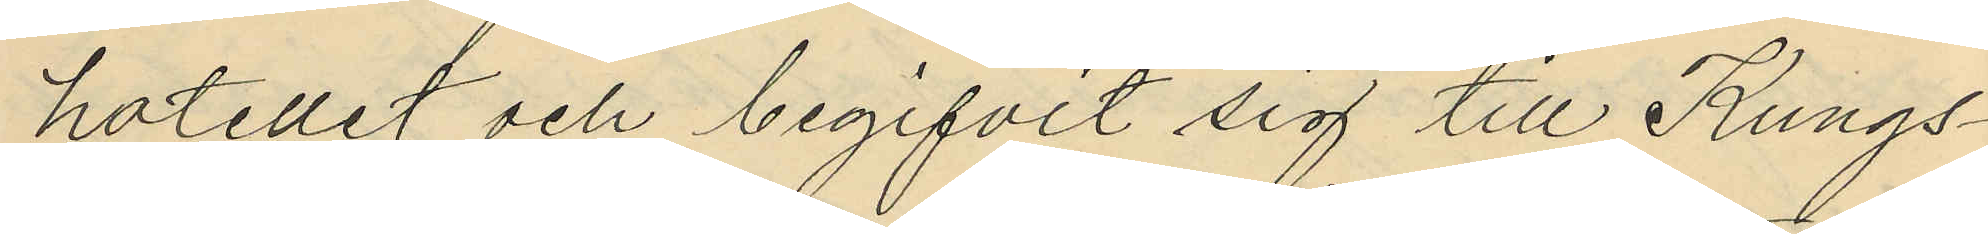hotellet och begifvit sig till Kungs¬
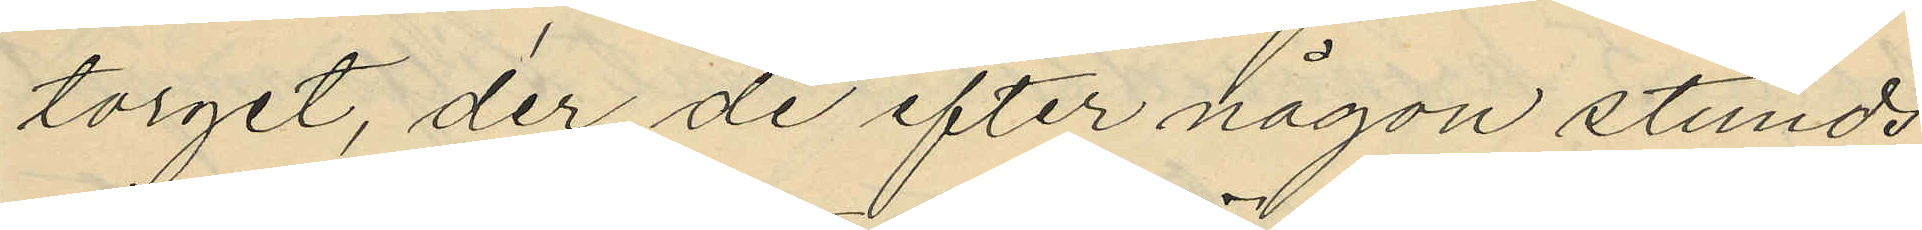torget, der de efter någon stunds
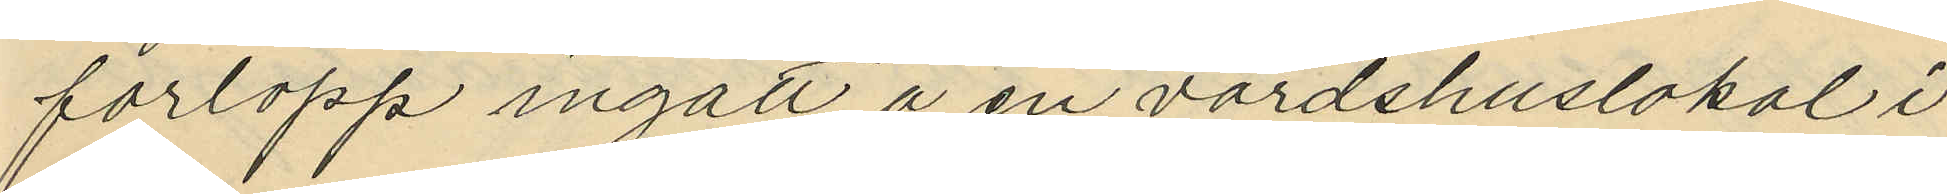förlopp ingått å en värdshuslokal i
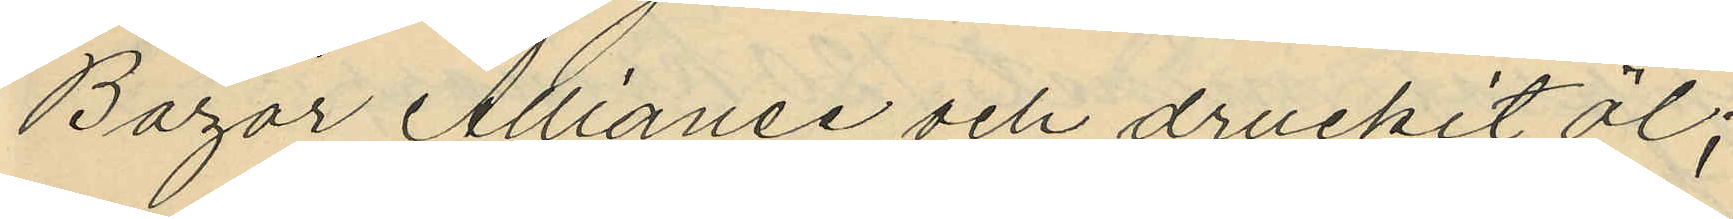Bazar Allianse och druckit öl;
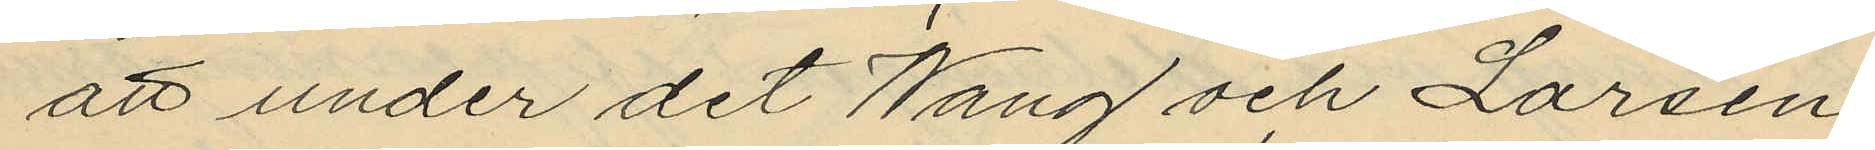att under det Wang och Larsen
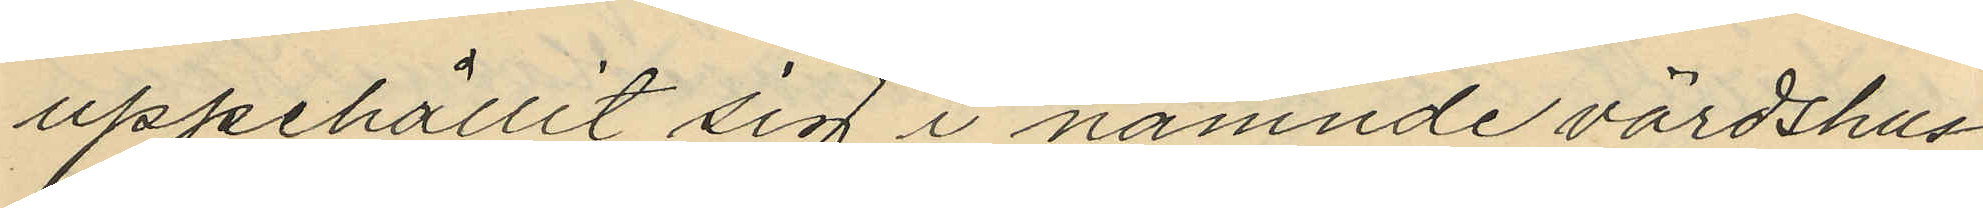uppehållit sig i nämnde värdshus¬
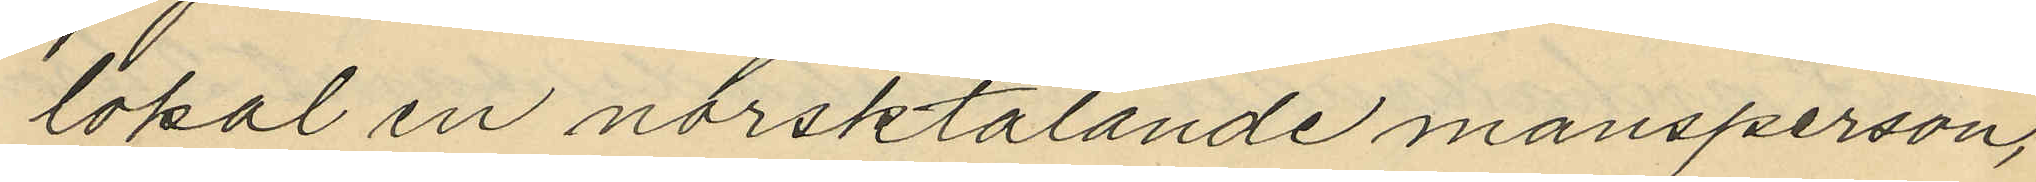lokal en norsktalande mansperson,
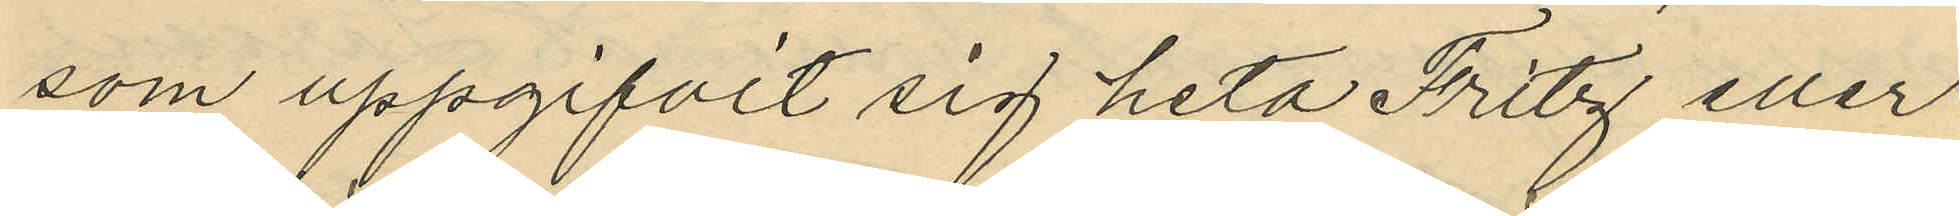som uppgifvit sig heta Fritz eller
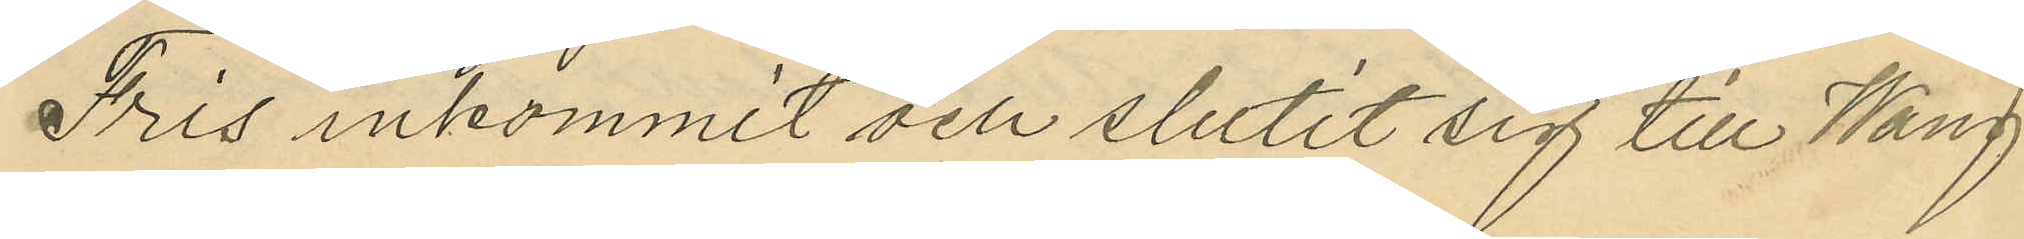Fris inkommit och slutit sig till Wang
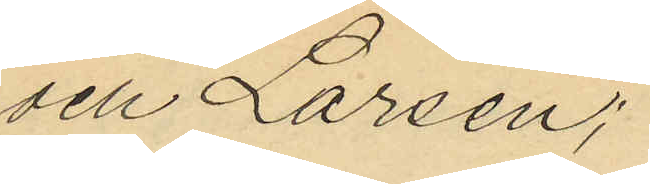och Larsen;
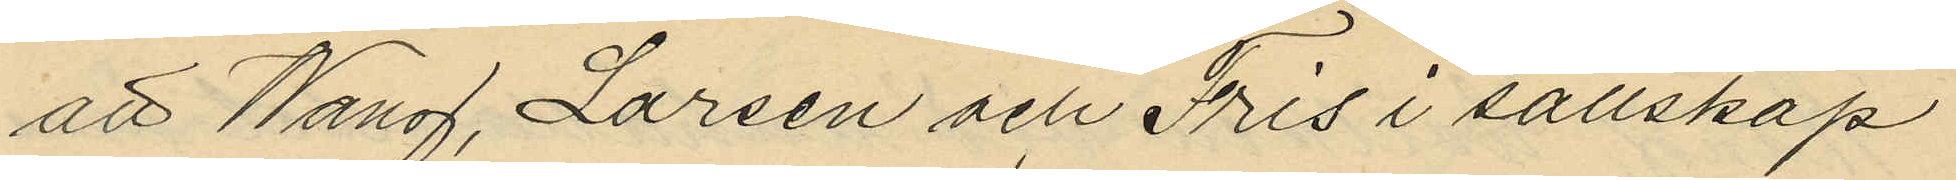att Wang, Larsen och Fris i sällskap
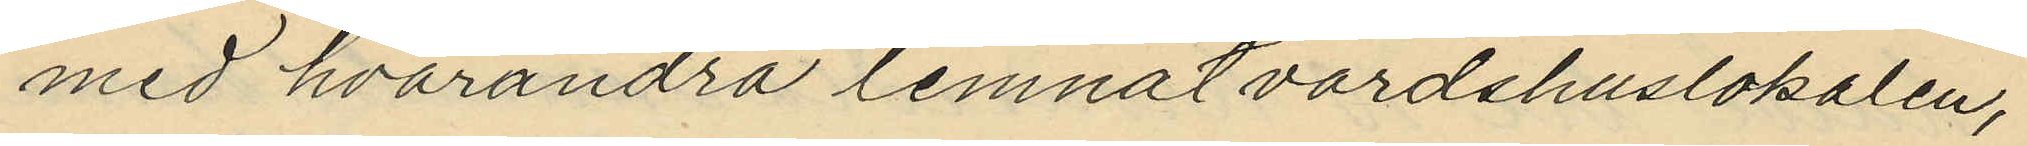med hvarandra lemnat värdshuslokalen,
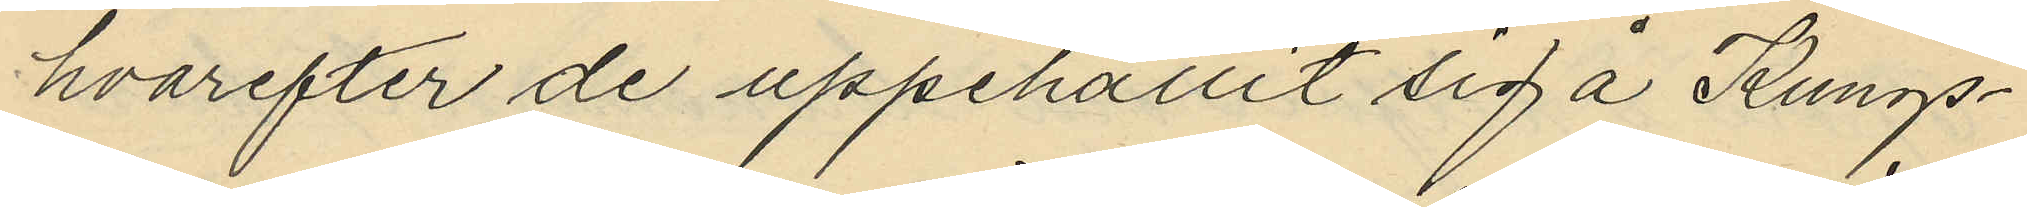hvarefter de uppehållit sig å Kungs¬
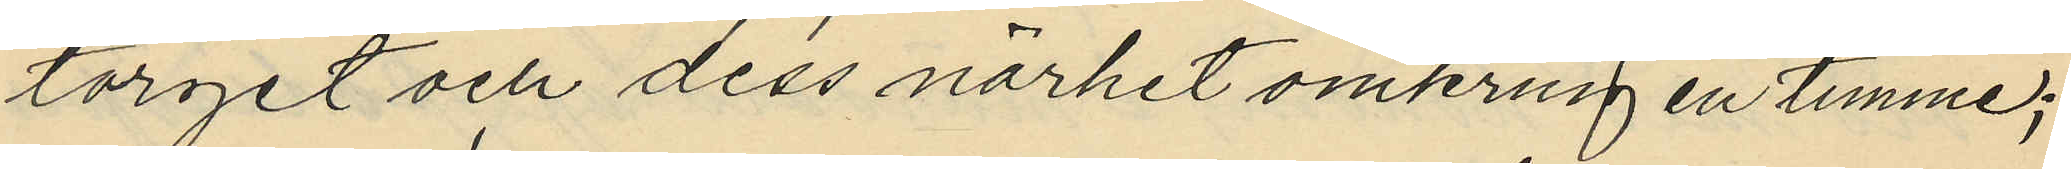torget och dess närhet omkring en timme;
